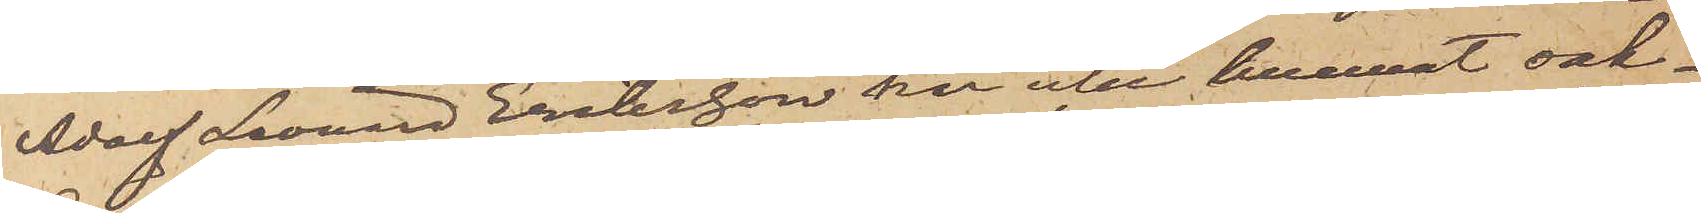Adolf Leonard Eriksson har icke kunnat sak¬
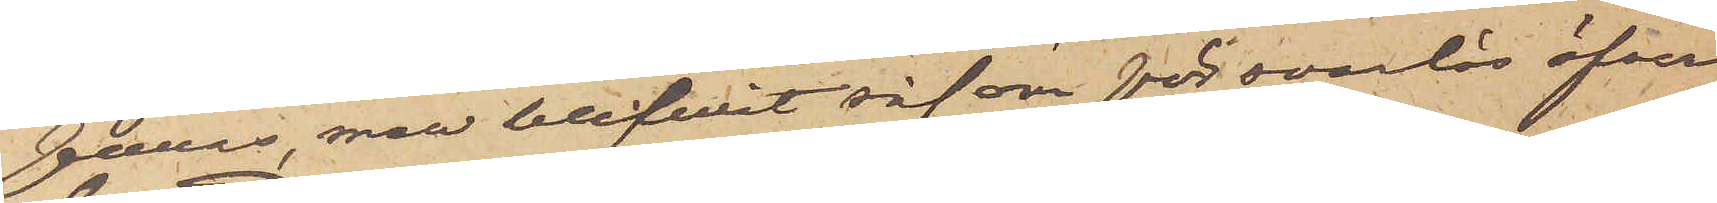föras, men blifvit såsom försvarlös öfver¬
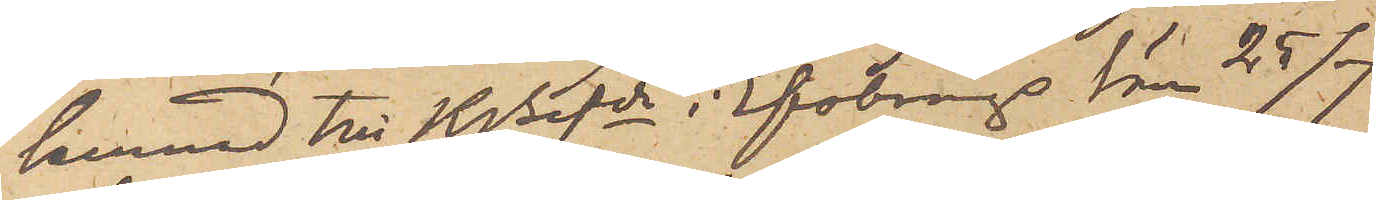lemnad till KBfde i Elfborgs Län 25/7.
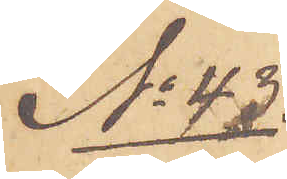No 43.
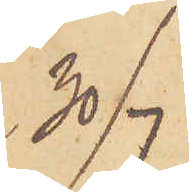30/7
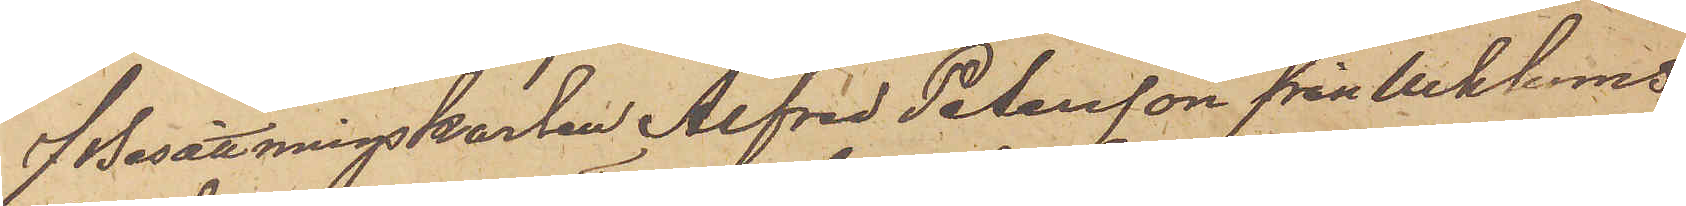f Besättningskarlen Alfred Petersson från Ucklums
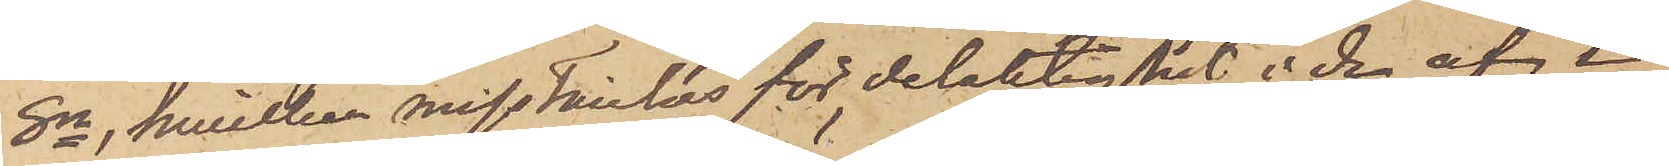Sn, hvilken misstänks för delaktighet i de af i
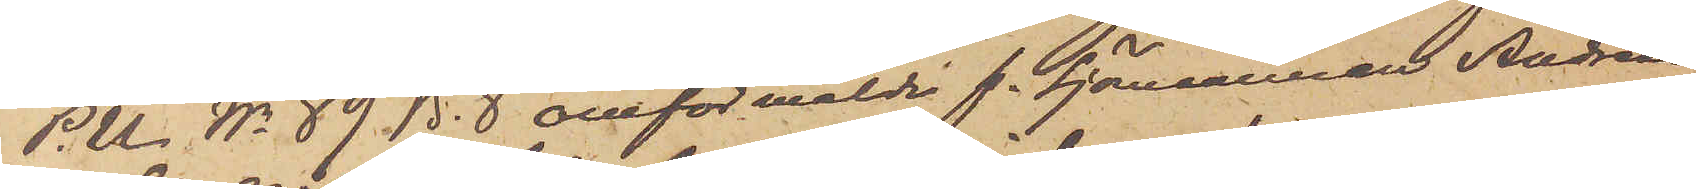P.U. No 89 B.8 omförmälde f. Sjömannen Andreas
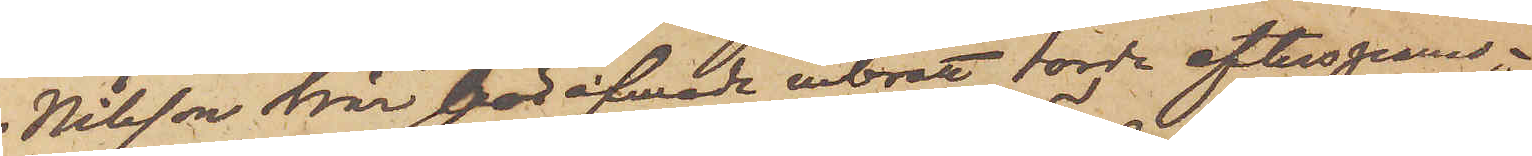Nilsson här föröfvade inbrott torde efterspanas o
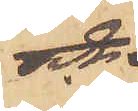och
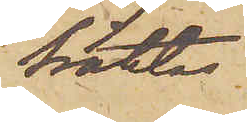häktas.
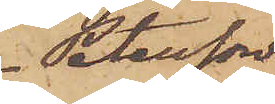Petersson
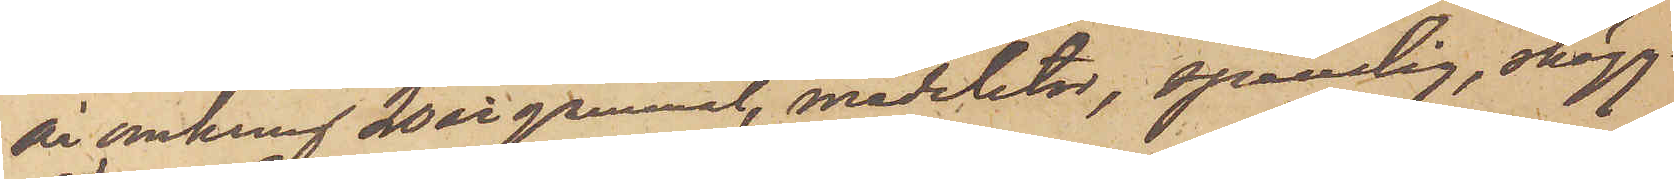är omkring 20 år gammal, medelstor, spenslig, skägg¬
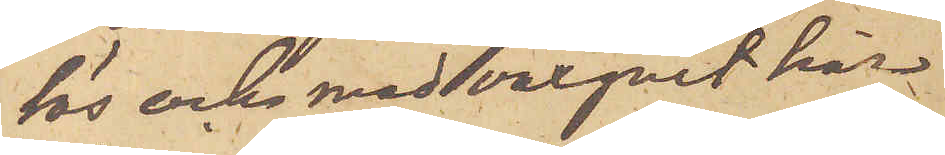lös och med vaxgult hår.
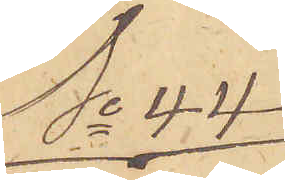No 44
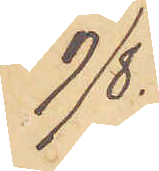9/8.
